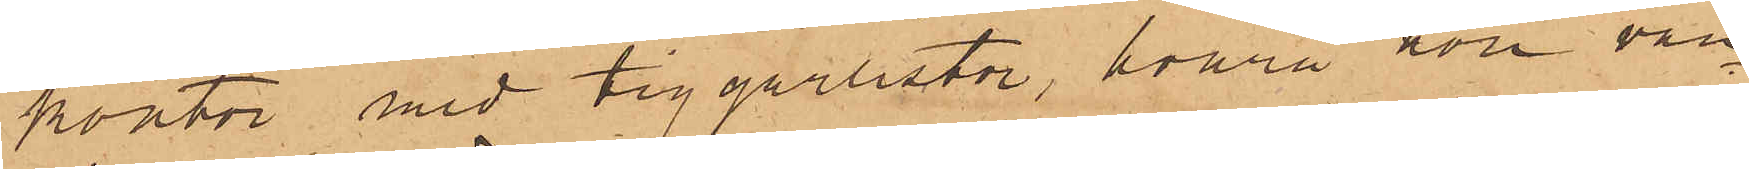kontor med tiggarlistor, hvarå hon van¬
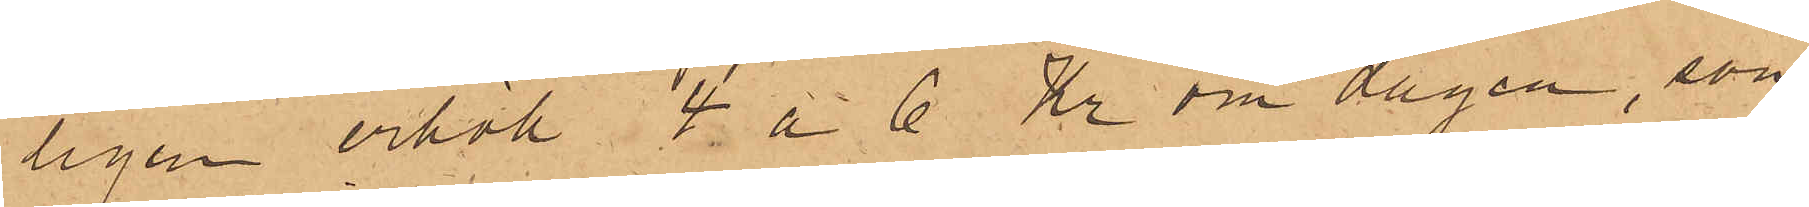ligen erhöll 4 á 6 Kr om dagen, som
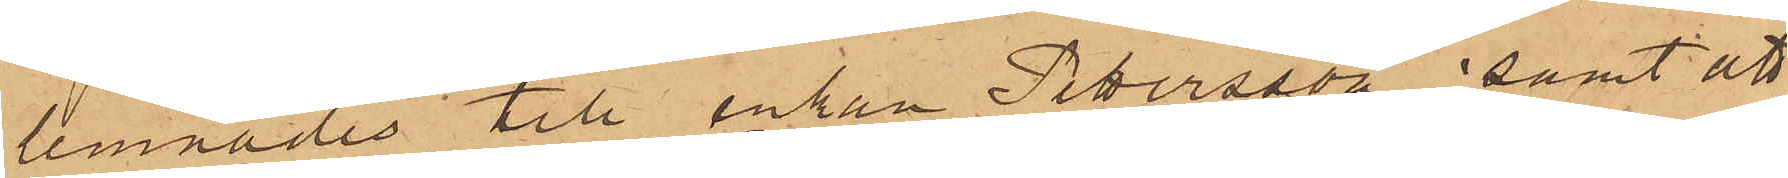lemnades till enkan Petersson, samt att
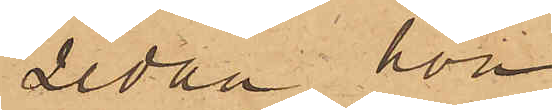sedan hon
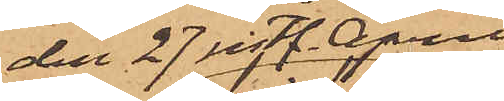den 27 sistl. April
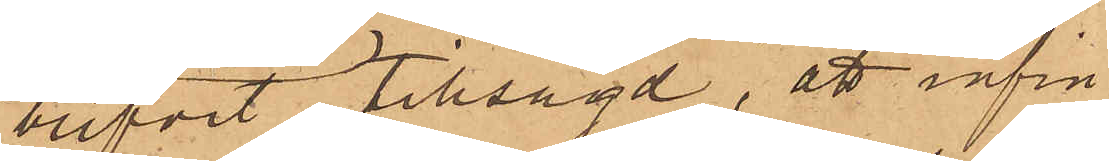blifvit tillsagd, att infin¬
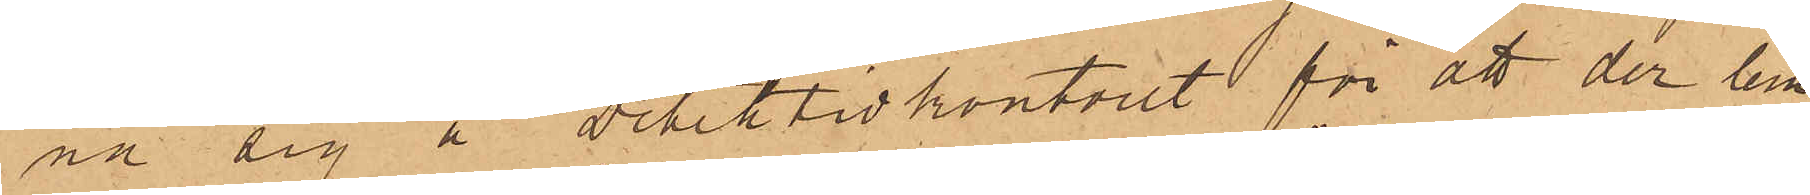na sig å detektivkontoret för att der lem¬
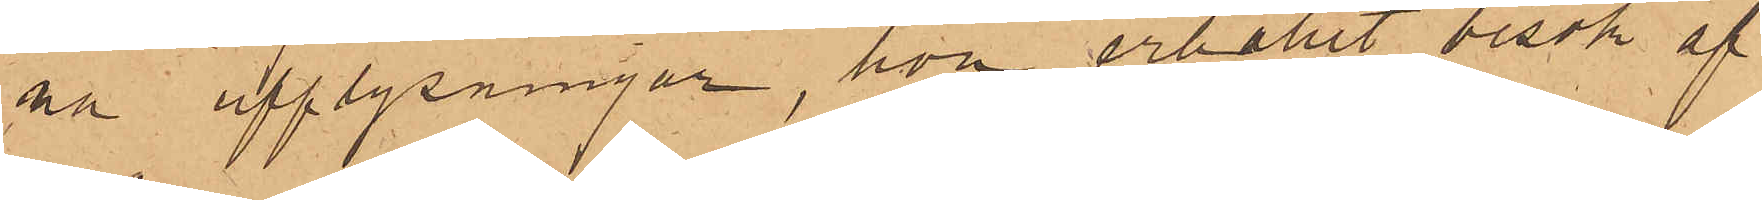na upplysningar, hon erhållit besök af
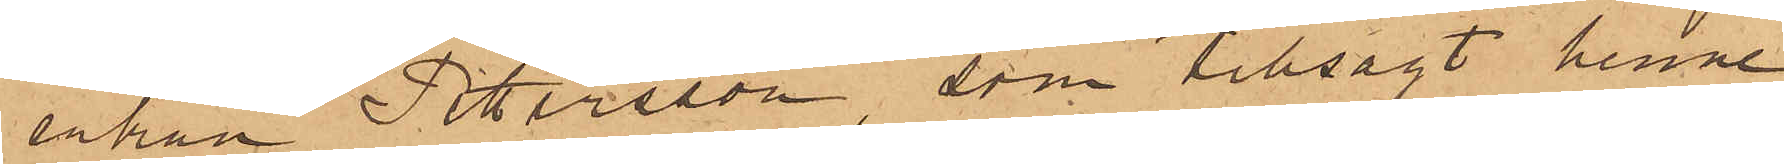enkan Pettersson, som tillsagt henne,
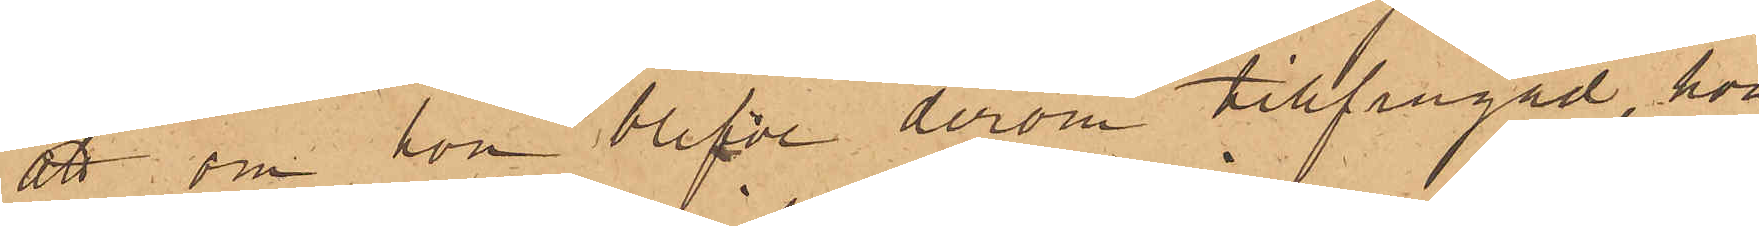att om hon blefve derom tillfrågad, hon
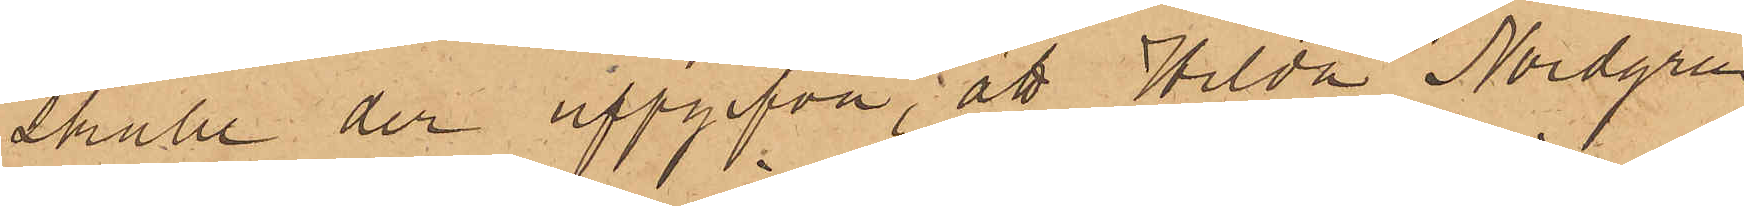skulle der uppgifva, att Hilda Nordgren
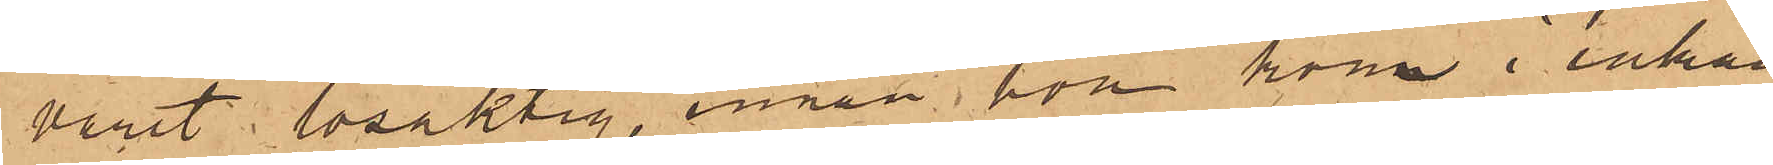varit lösaktig, innan hon kom i enkan
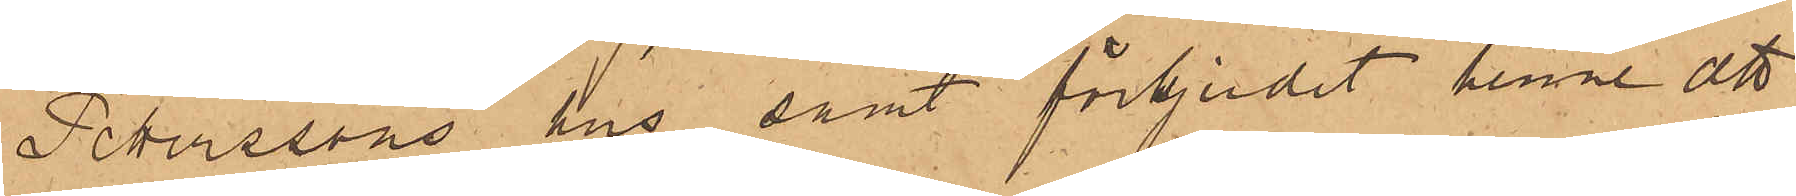Peterssons hus, samt förbjudit henne att
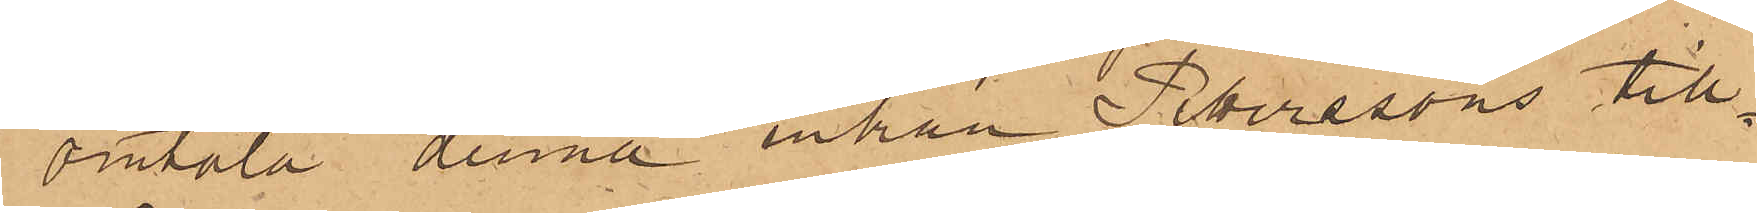omtala denna enkan Peterssons till¬
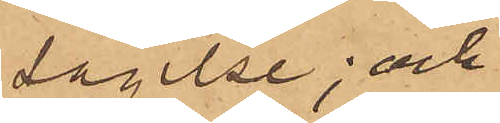sägelse; och
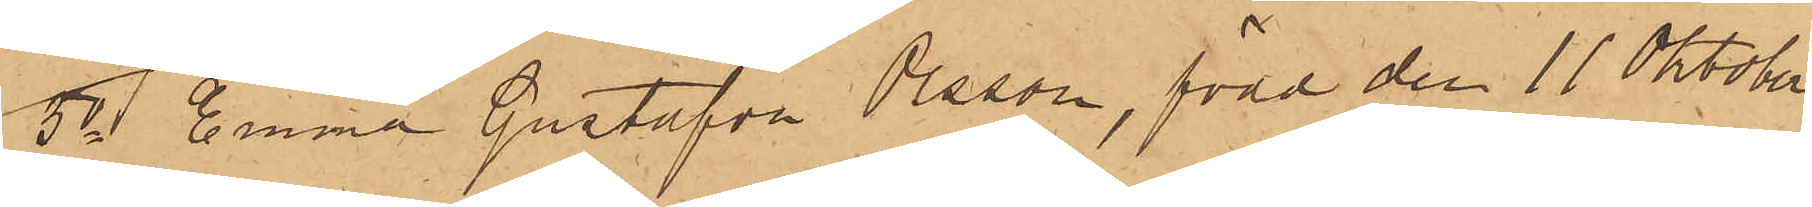3o Emma Gustafva Olsson, född den 11 Oktober
